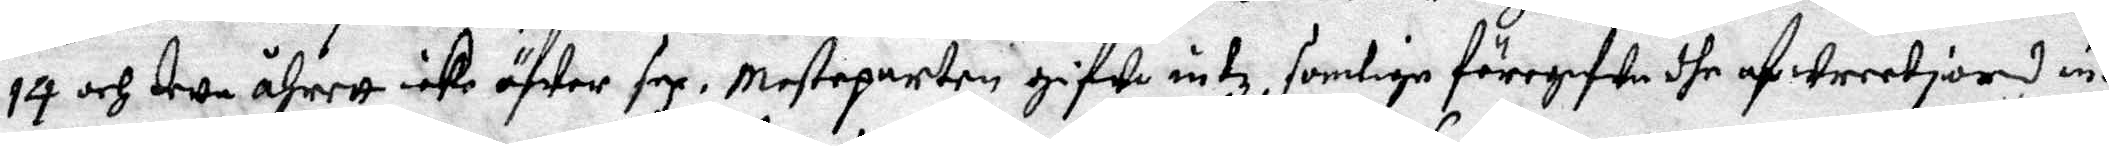14 och detta åhrett icke öfwer sex. Mesteparten gifwe intz, somlige föregifwa dhe af wreetjord inyz
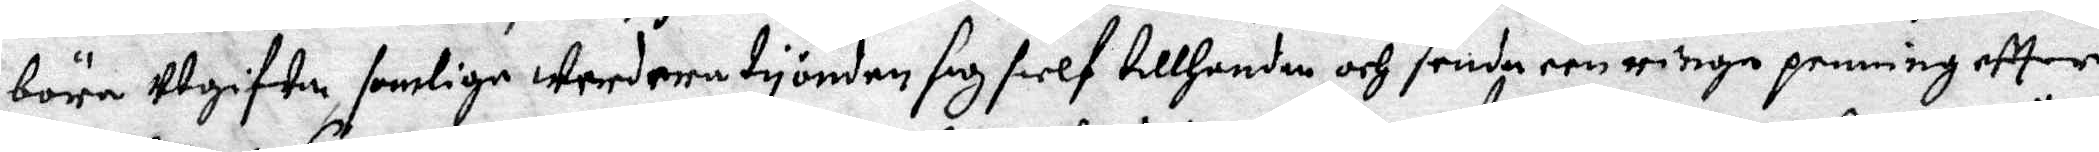böra utgifwa somlige wredenetyonden sig sielf tillhanden och senda een ringa penning eftter
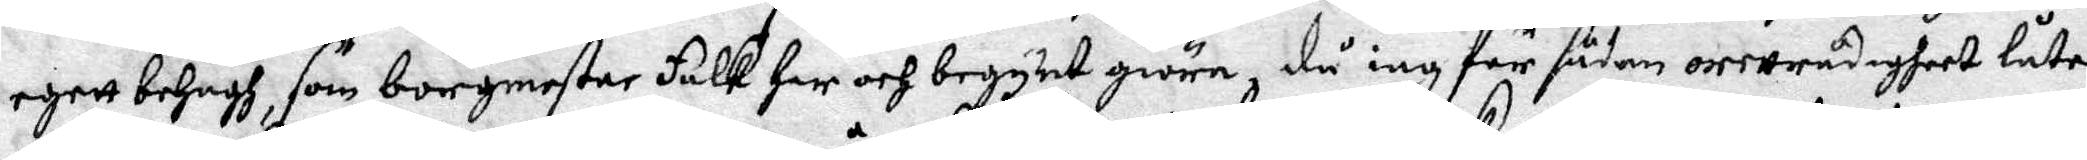egett behagh, som borgmester Falk har och begynt giöra, då iag för säden orettrådigheet låter
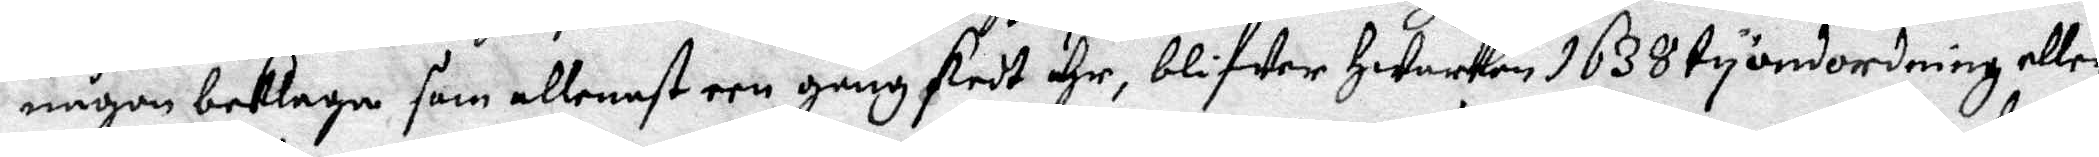någon beklaga som allensast een gång skedt ähr, blifwer hwarken 1638 tyondeordning eller
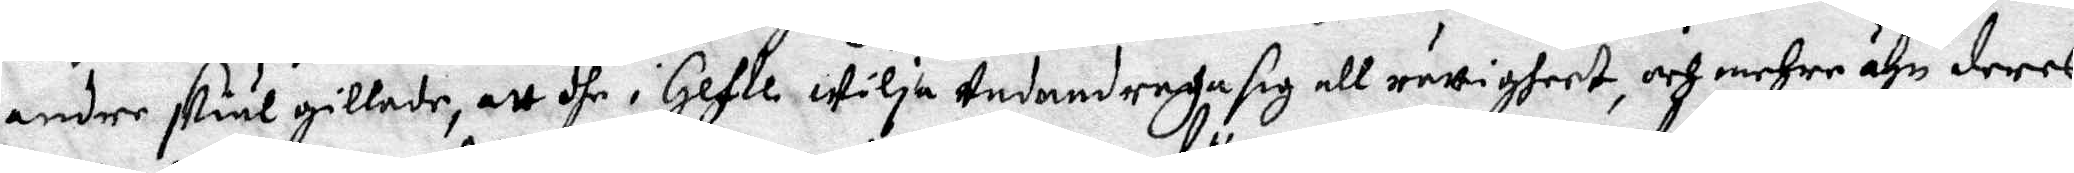andre skiäl gillade, att dhe i Gefle wilja undandraga sig all rättigheet, och mehre ähn deras
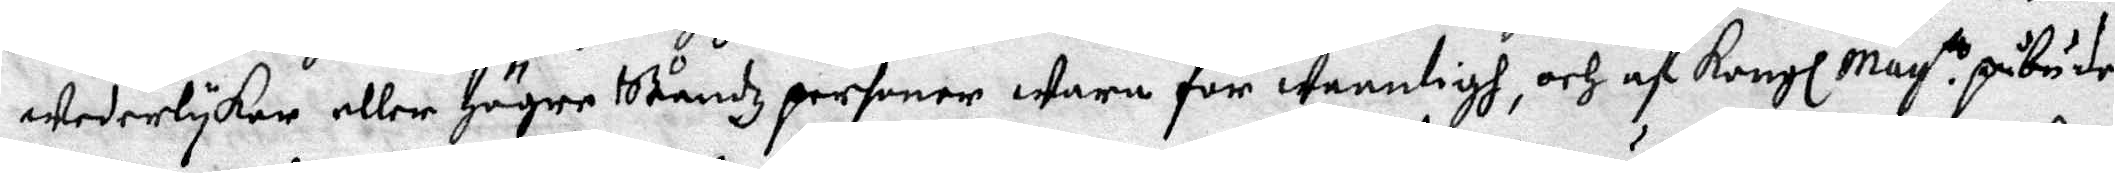wederlykar eller högre Ständz personer wara för wanntigh, och af Kongl May.tz påbudan
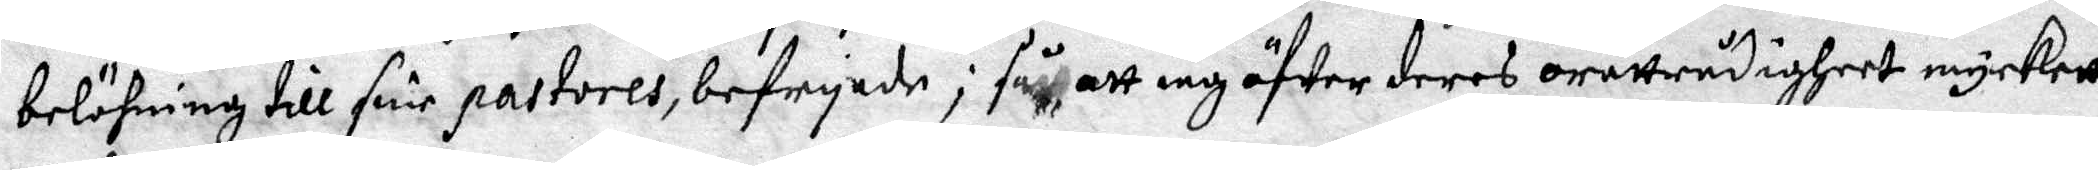belöning till sine pastroes, befryade; fått att iag öfwer deras orättrådigheer myckett
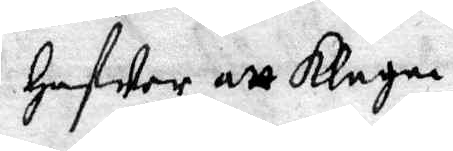hafwa att klaga.
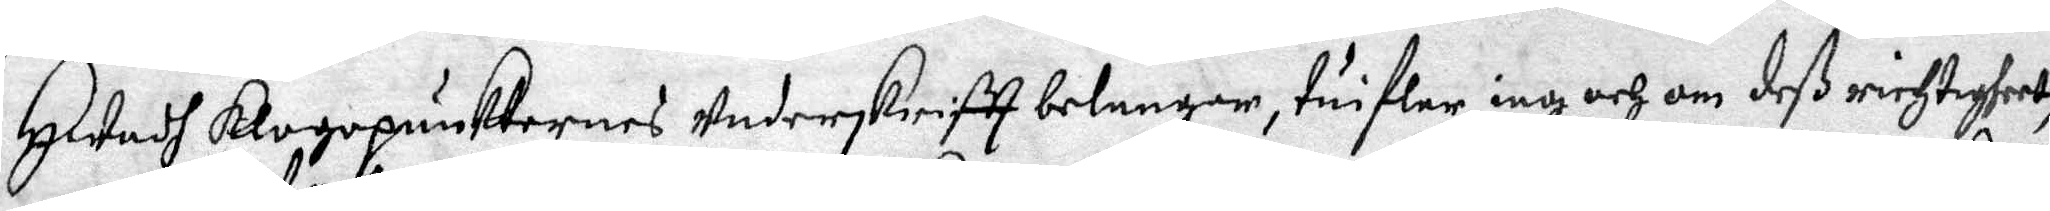hwadh klagopunkternas underskriftt belangar, tuiflar iag och om deß richtigheet,
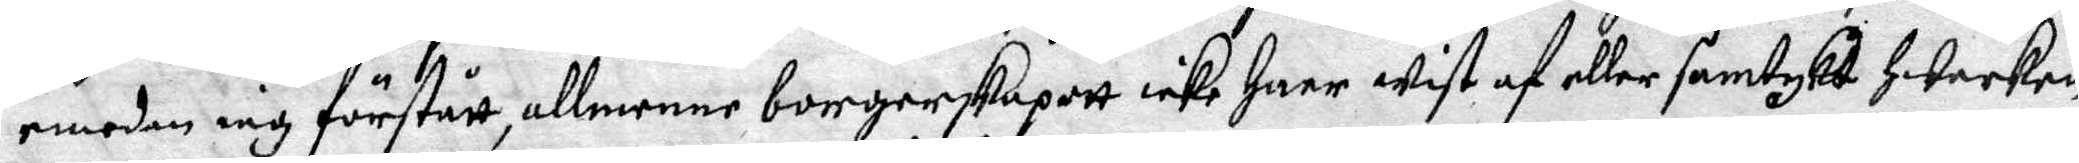emadan iag förstått, borgerskapett icke haer wist af akker samtykt hwarken
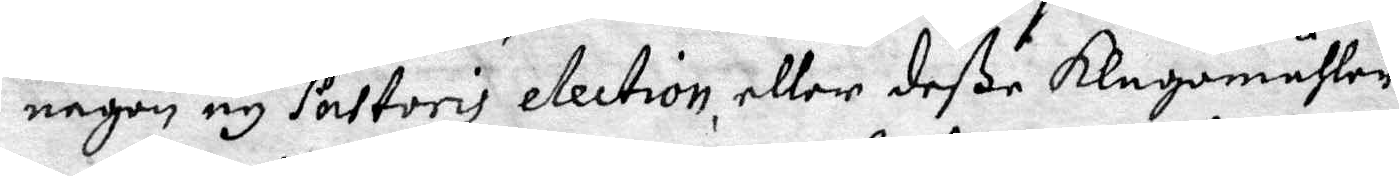någon ey Pastoris election, eller deße klagomåhlen.
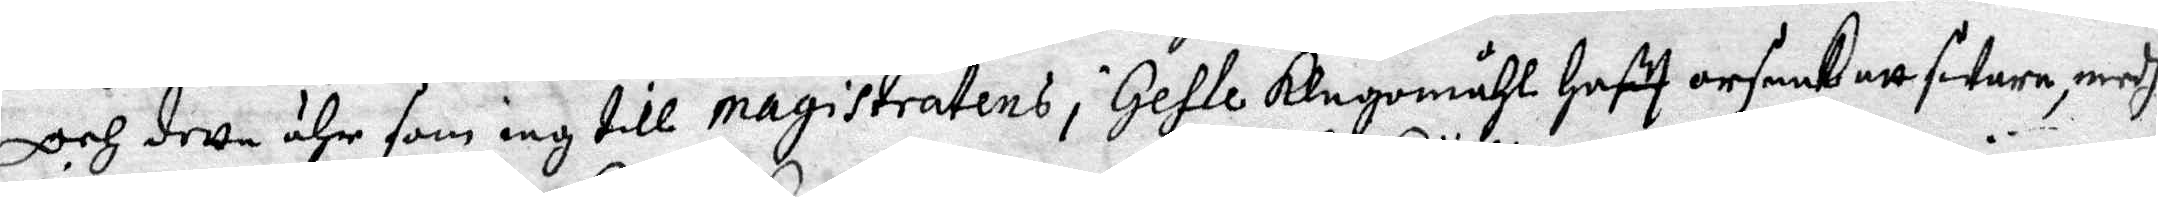Och detta ähr som iag till magistratens i gefle klagomåhl haftt orsaak att swara, medh
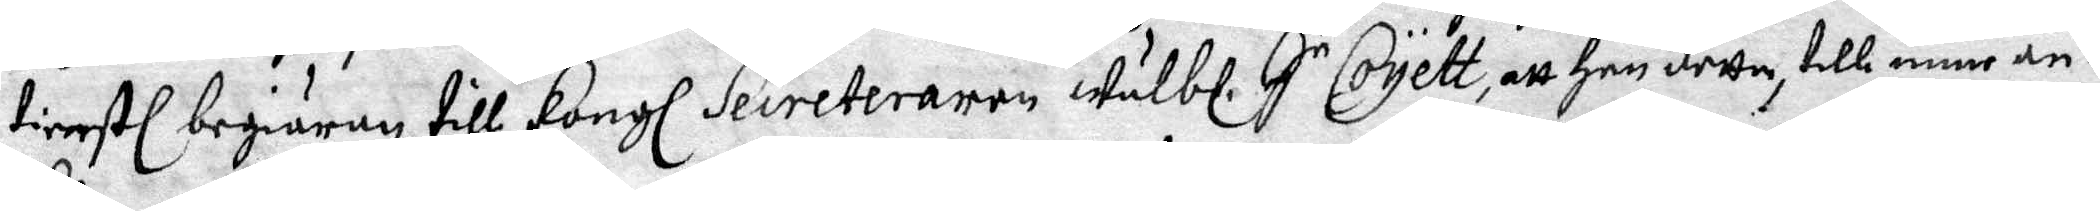tienstl begiäran till Kongl Secreteraren wälbl. Hr Coÿett, att han detta, till mine an¬
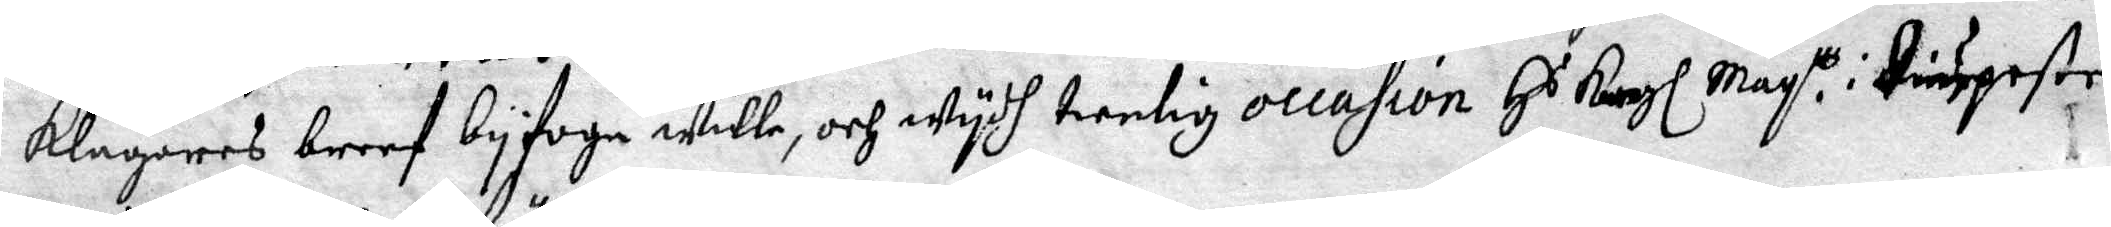klagares breef byfoga wille, och wydh tienlig occasion Hs Kongl May.tt i diupaste
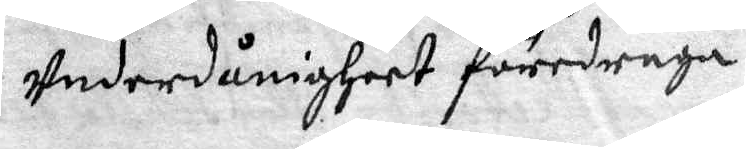underdånigheet föredraga.
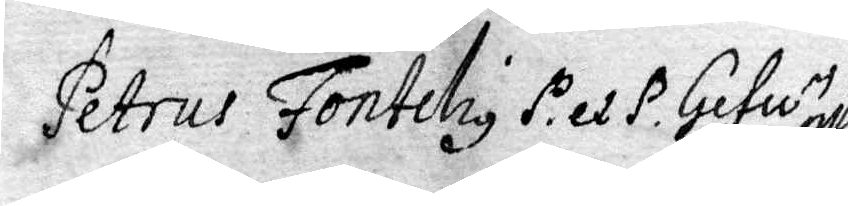Petrus Fonteliy P. et P. Gefle
